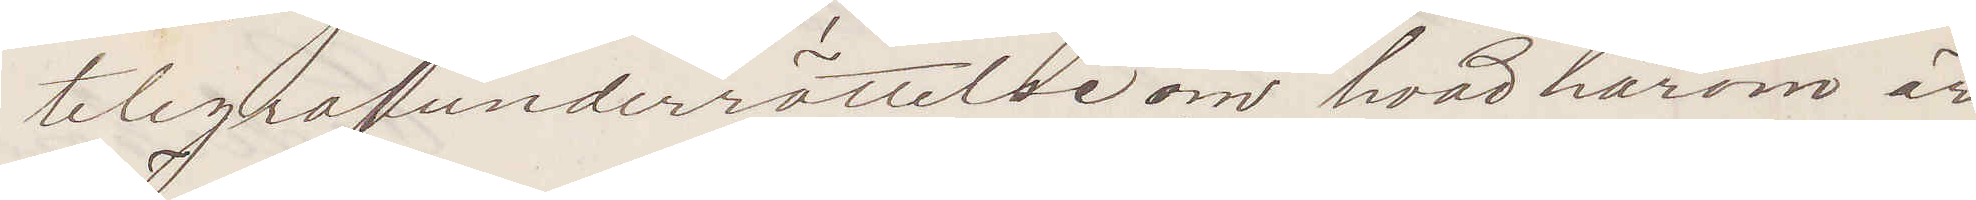telegrafunderrättelse om hvad härom är
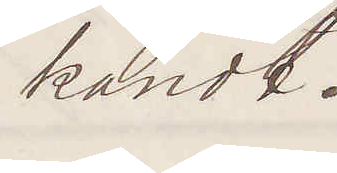kändt.
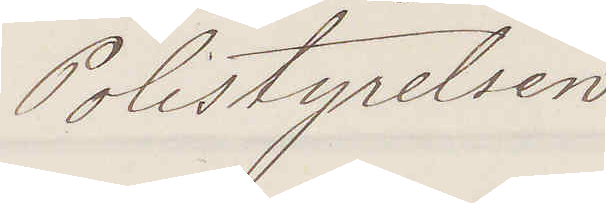Polistyrelsen
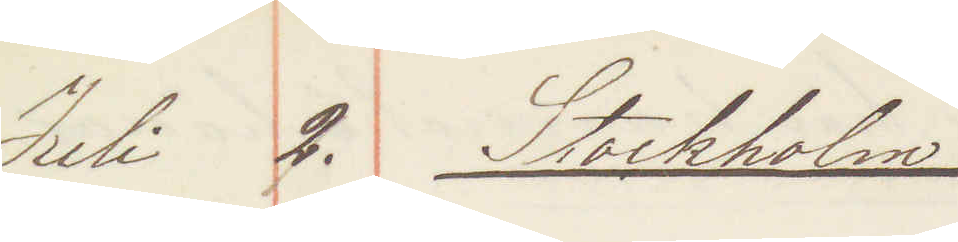Juli 2. Stockholm
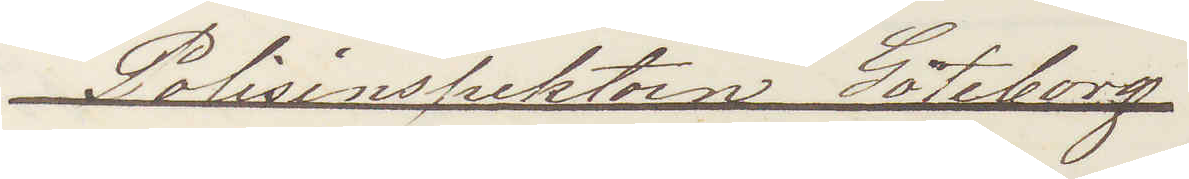Polisinspektorn Göteborg
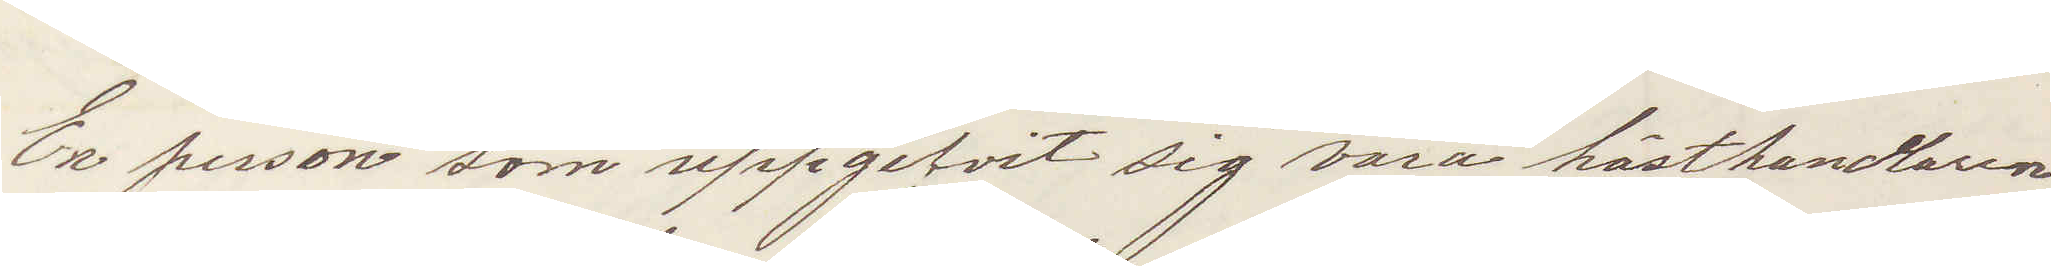En person som uppgifvit sig vara hästhandlaren
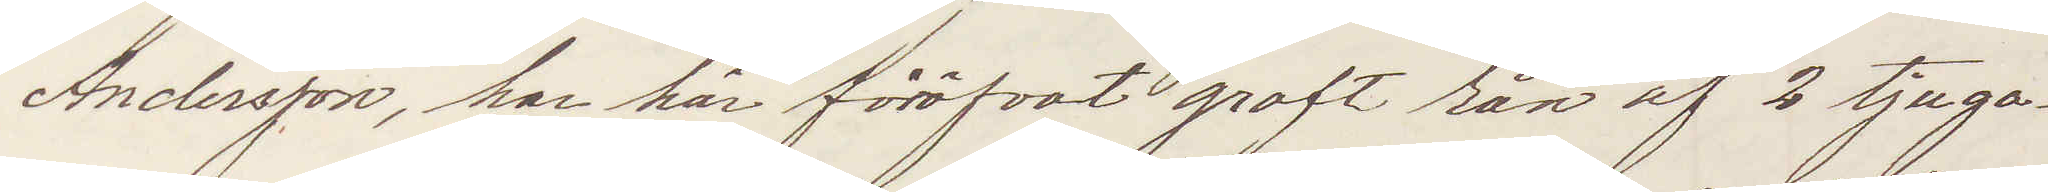Anderson, har här föröfvat groft rån af 2 tjugo¬
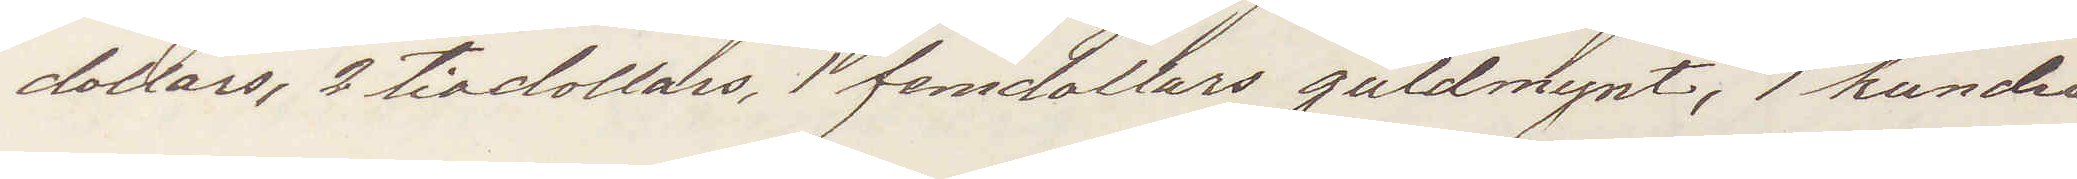dollars, 2 tiodollars, 1 femdollars guldmynt, 1 hundra¬
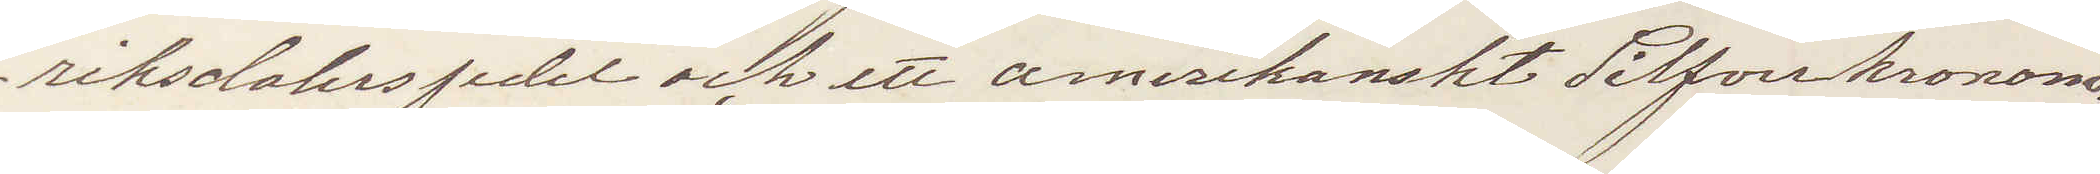riksdalerssedel och ett amerikanskt Silfverkronome¬
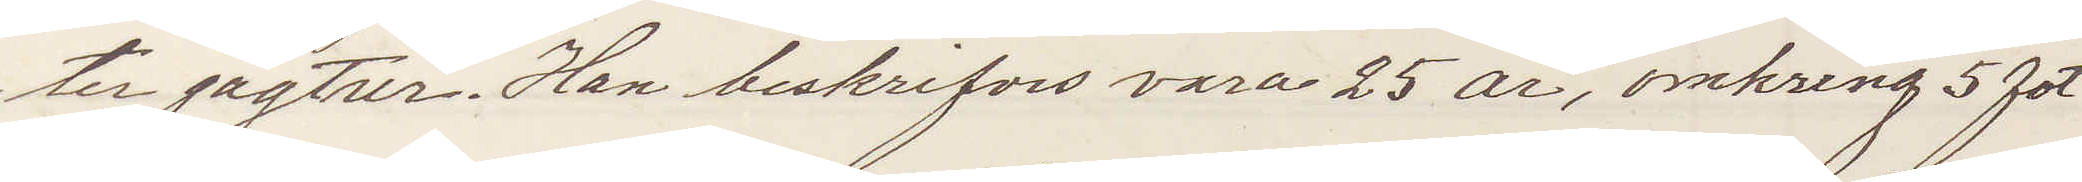ter jagtur. Han beskrifves vara 25 år, omkring 5 fot
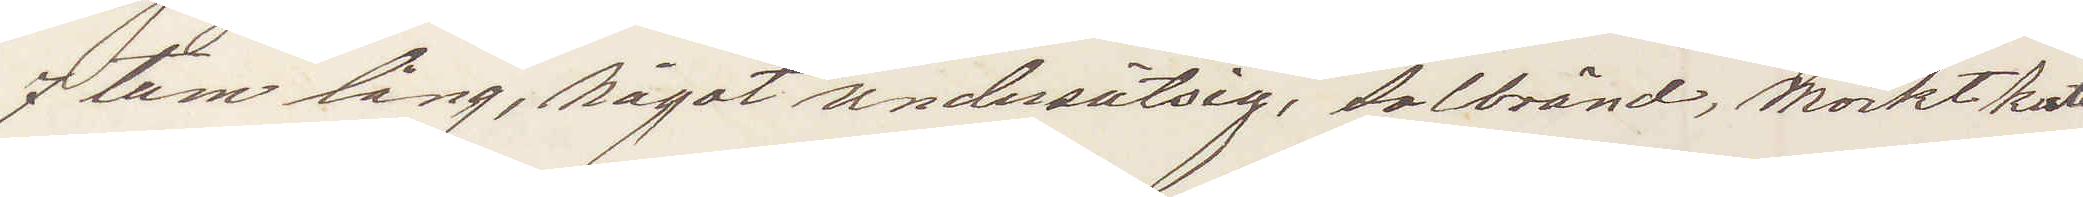7 tum lång, något undersätsig, solbränd, mörkt kort¬
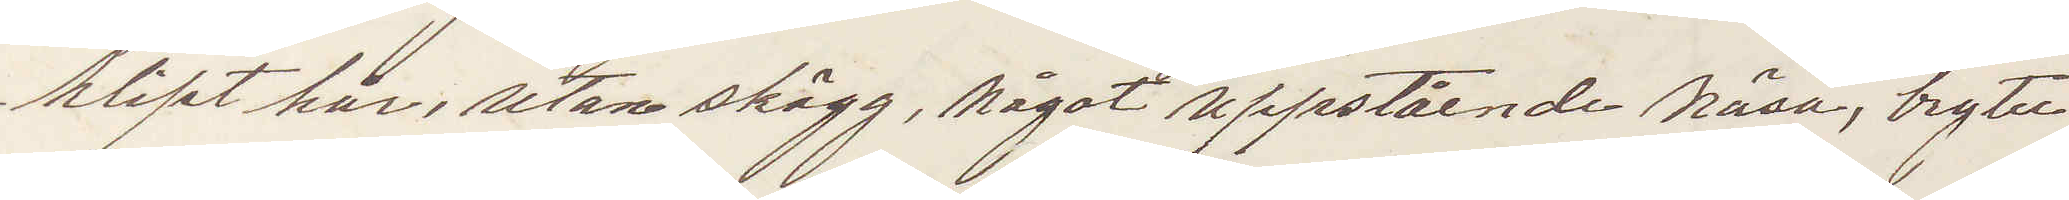klipt hår, utan skägg, något uppstående näsa, bryter
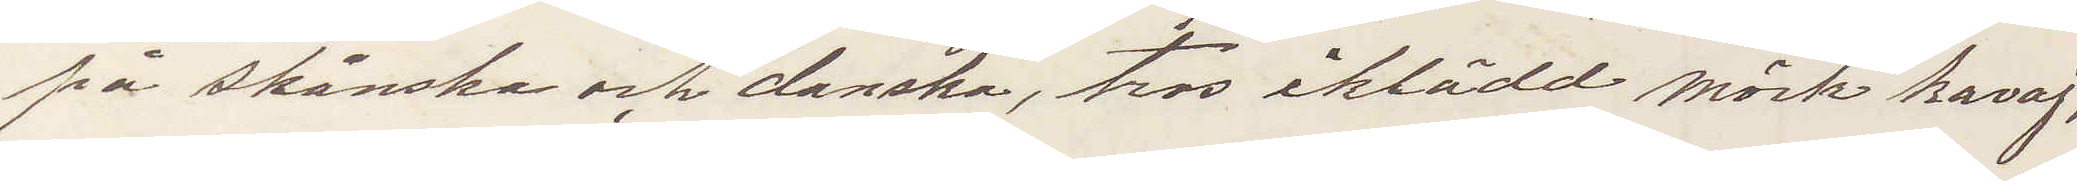på skånska och danska, tros iklädd mörk kavaj,
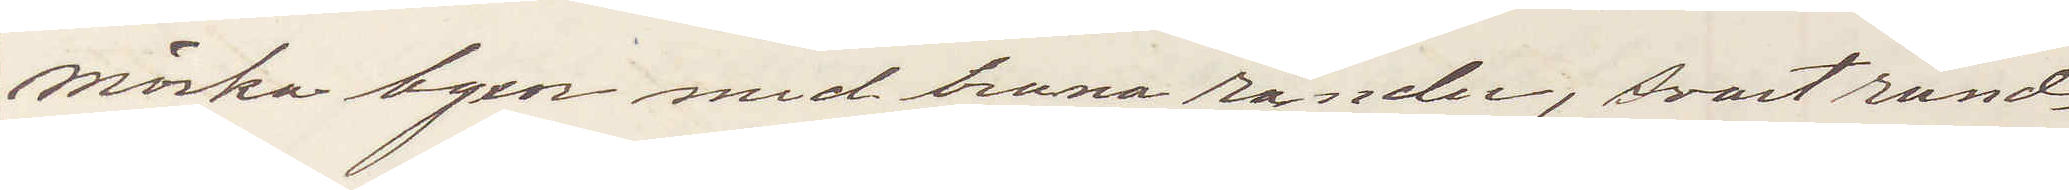mörka byxor med bruna ränder, svart rund¬
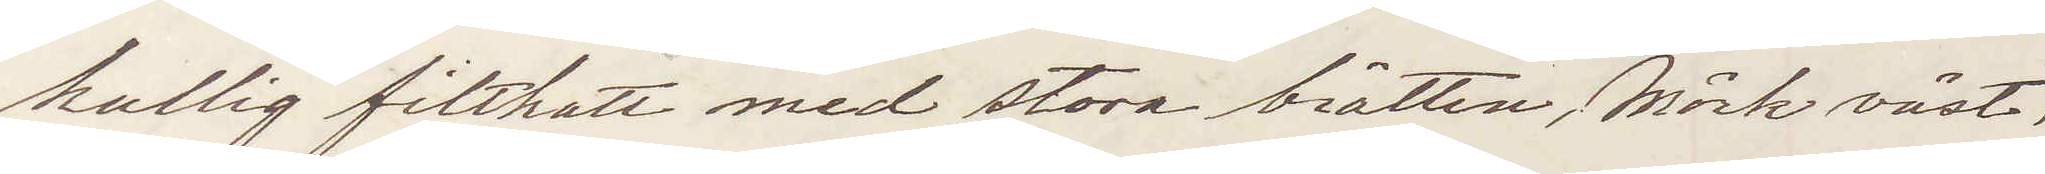kullig filthatt med stora brätten, mörk väst
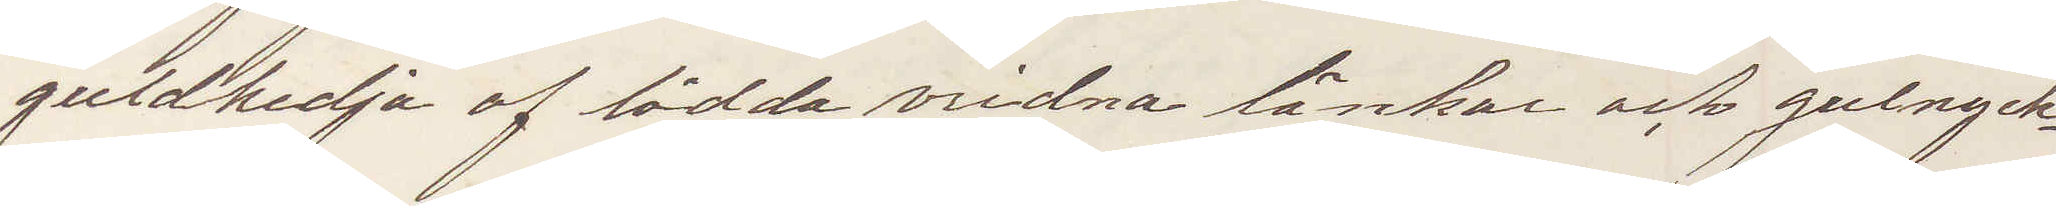guldkedja af lödda vridna länkar och gulnyck¬
